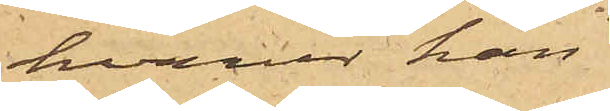hvarur han
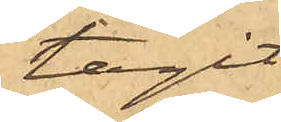tagit
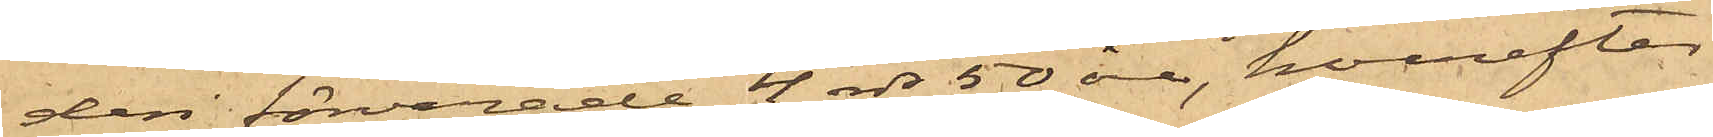deri förvarade 4 rdr 50 öre, hvarefter
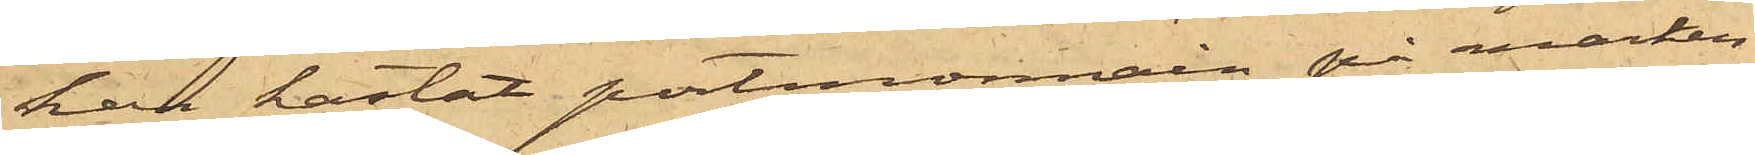han kastat portmonnain på marken
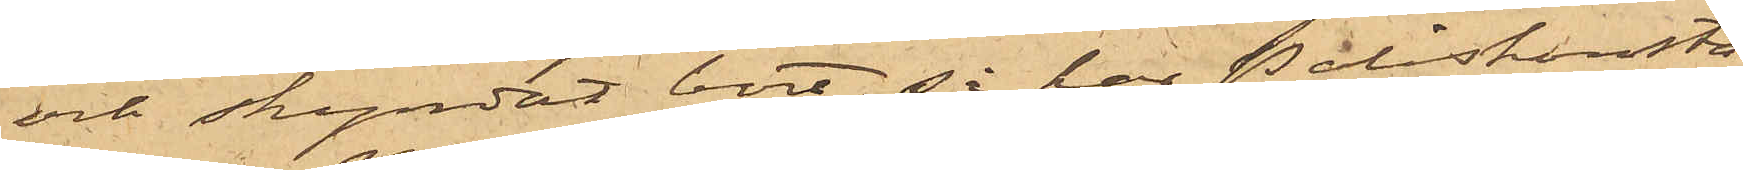och skyndat bort, så har Poliskonsta¬
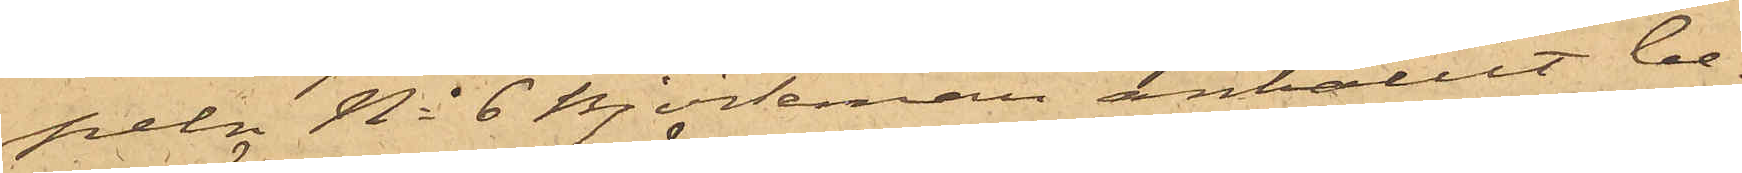peln No 6 Björkman anhållit be¬
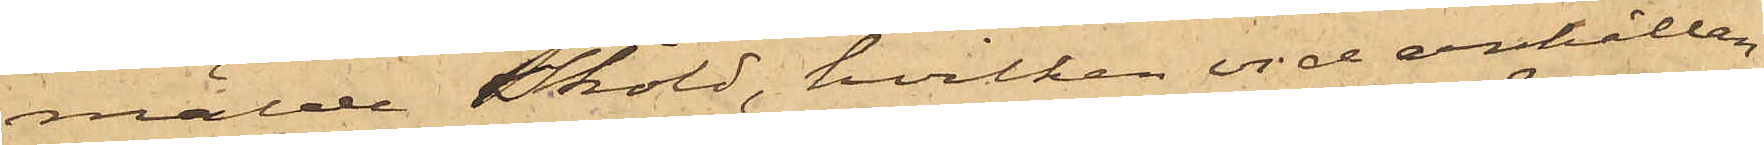mälde Sköld, hvilken vid anhållan¬
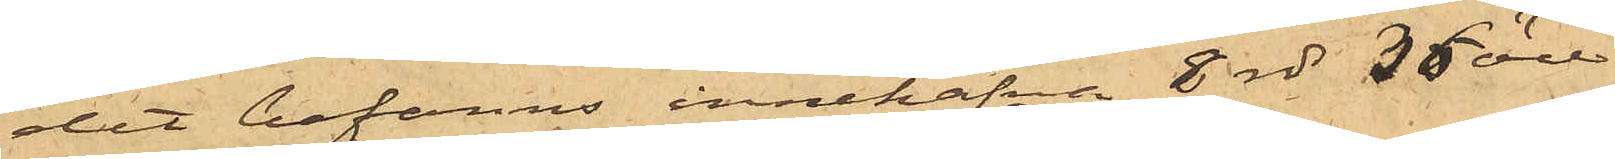det befanns innehafva 8 rdr 36 öre.
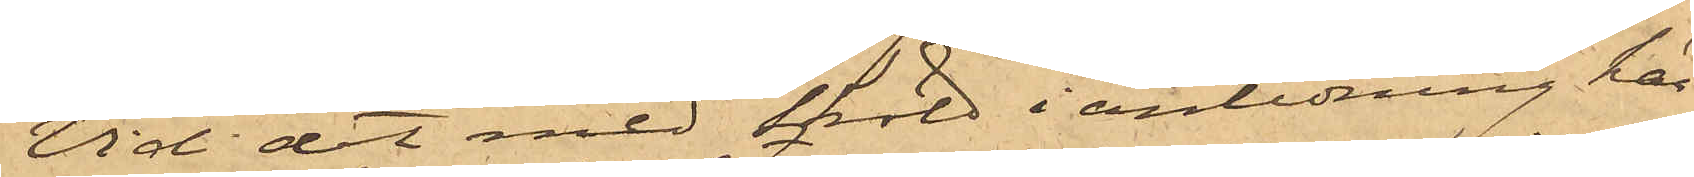Vid det med Sköld i anledning här¬
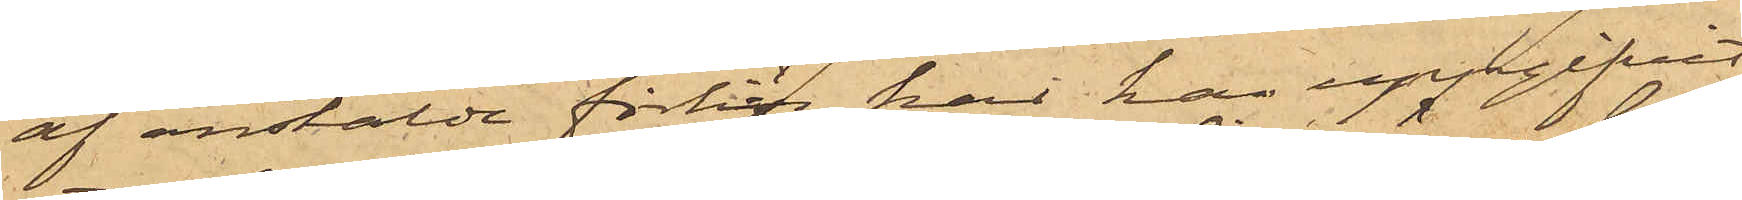af anstälde förhör har han uppgifvit
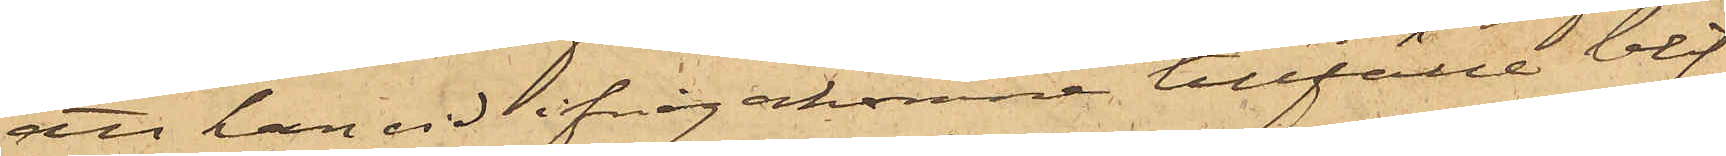att han vid ifrågakomne tillfälle blif¬
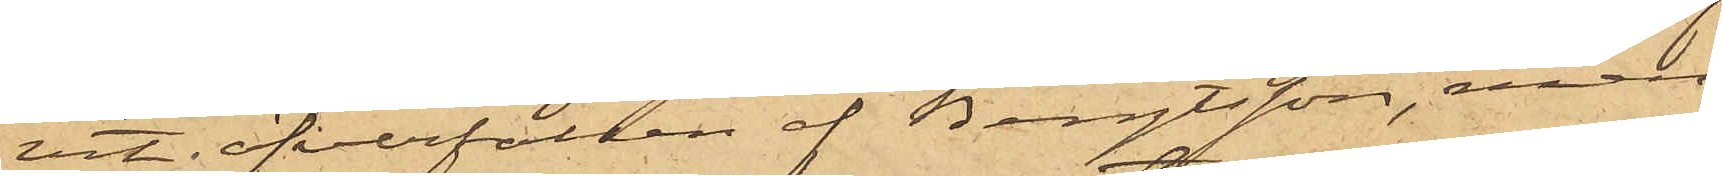vit öfverfallen af Bengtsson, men
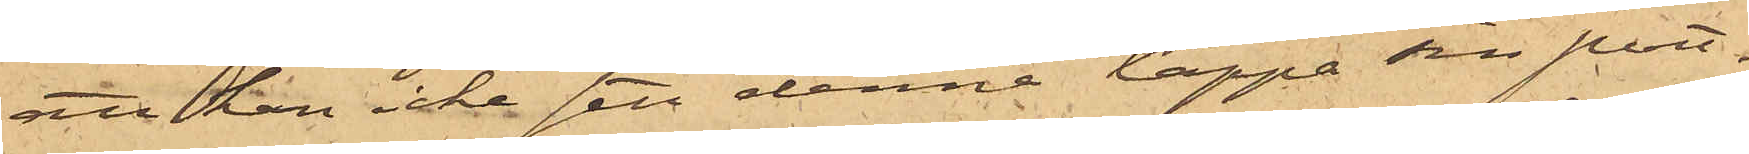att han icke sett denne tappa sin port¬
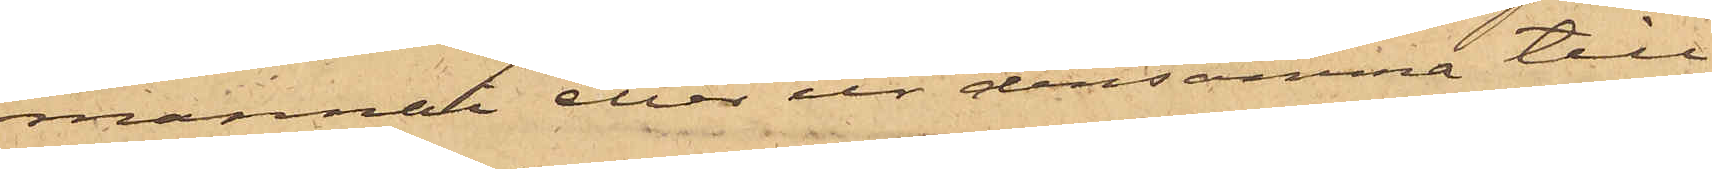monnai eller ur densamma till¬
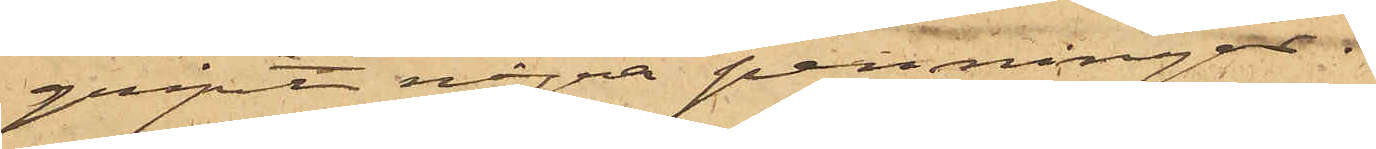gripit några penningar.
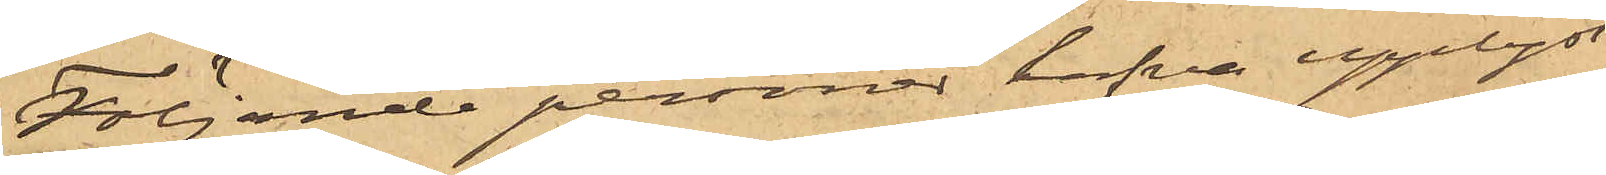Följande personer hafva upplyst
